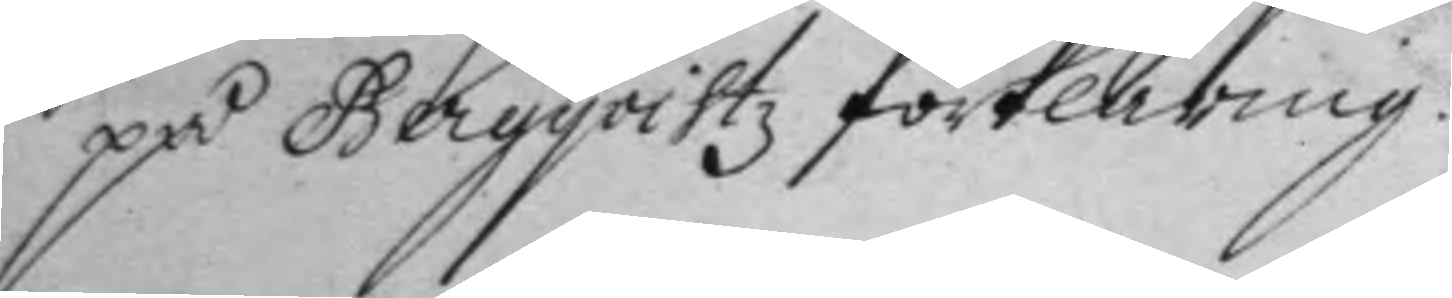på Begqvistz förklaring.
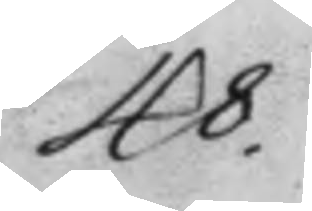48.
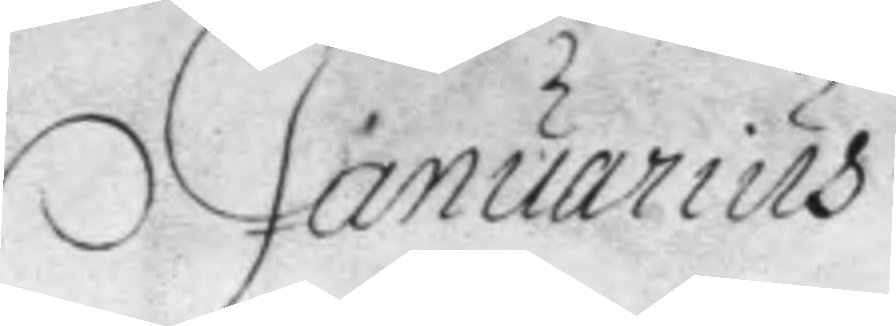Januarius
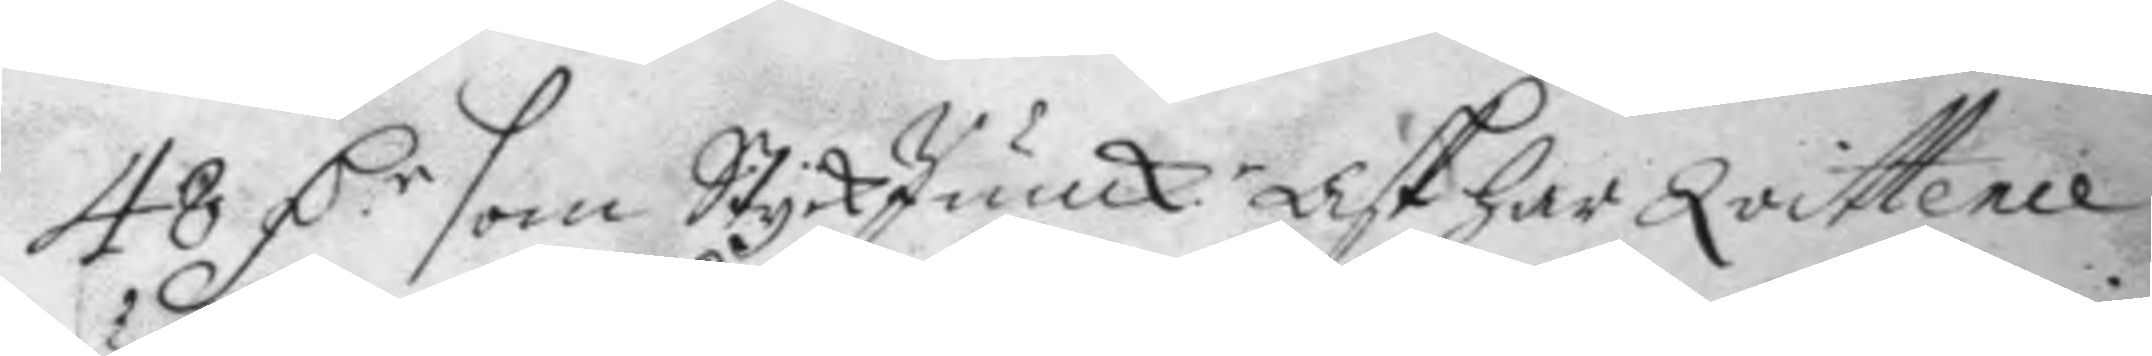48 D.r som StyckJunk:r Ask har Qvittence 
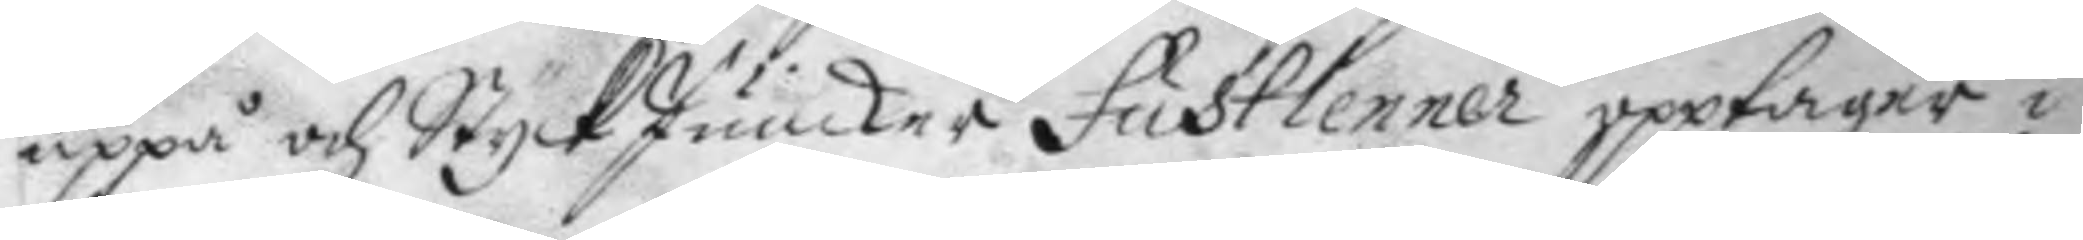uppå och StyckJunker fustlenner upptager i
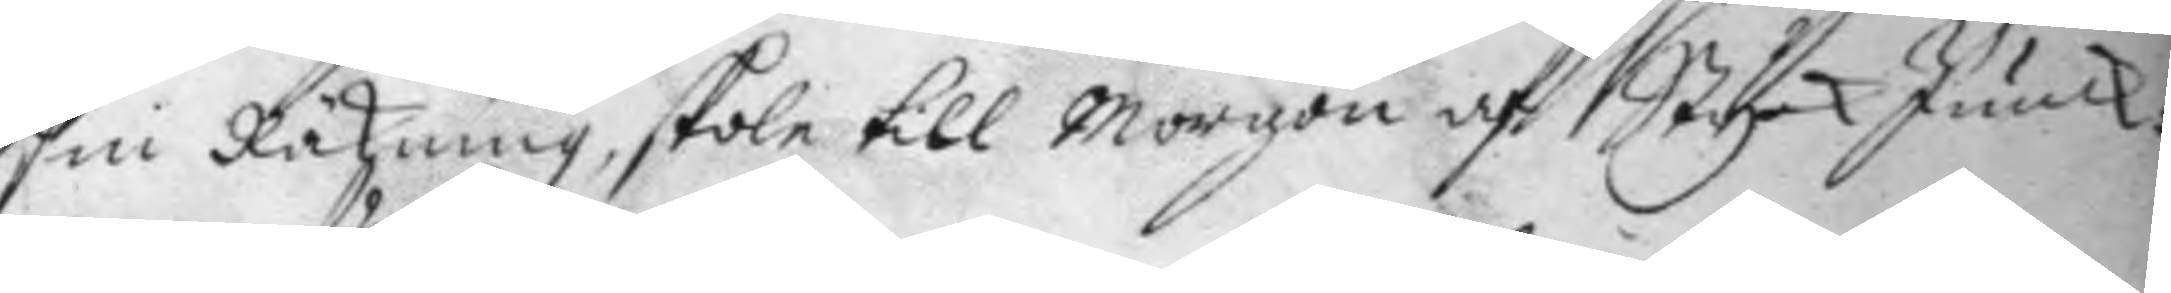sin Räkning, skole till Morgon af Styck Junck:
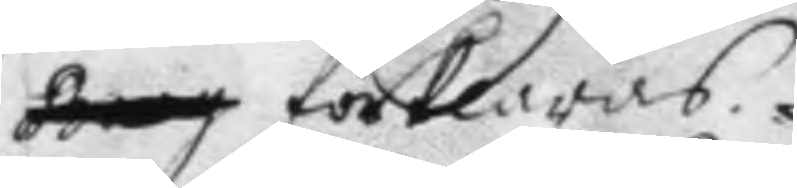förklaras.
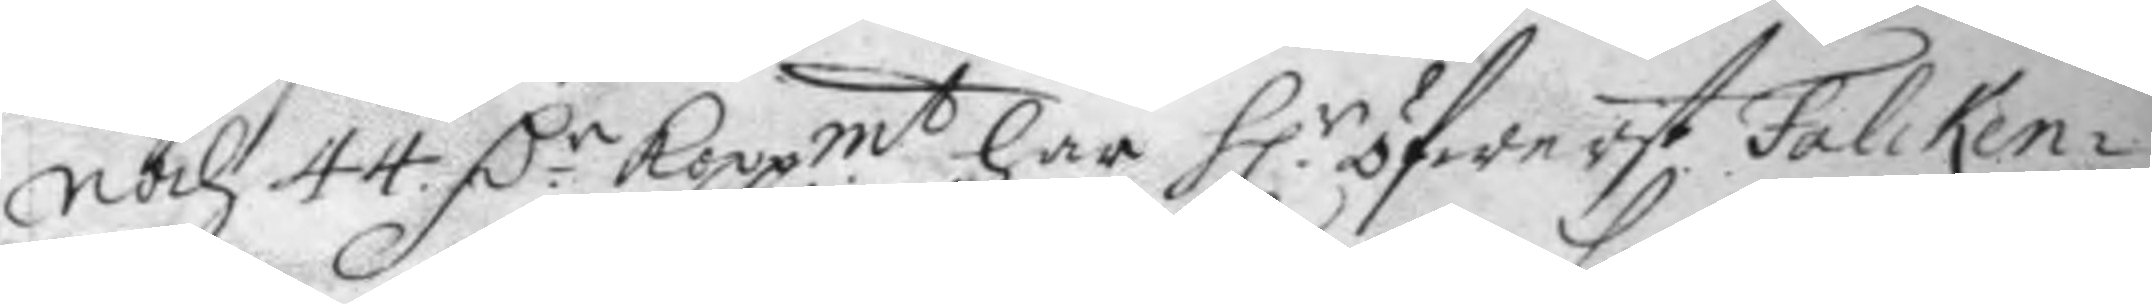noch 44 D:r Koppmt har H.r öfwerst Falcken¬ 
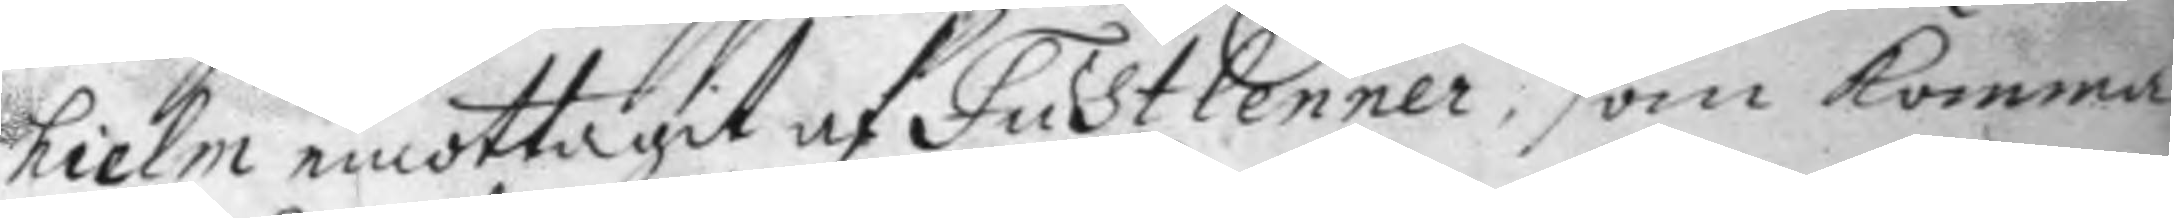hielm emottagit af Fustlenner, som komma,
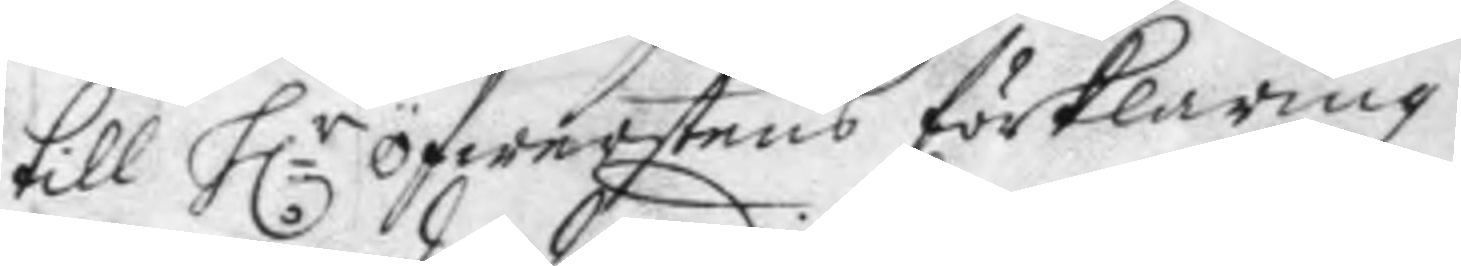till H.r öfwerstens förklaring.
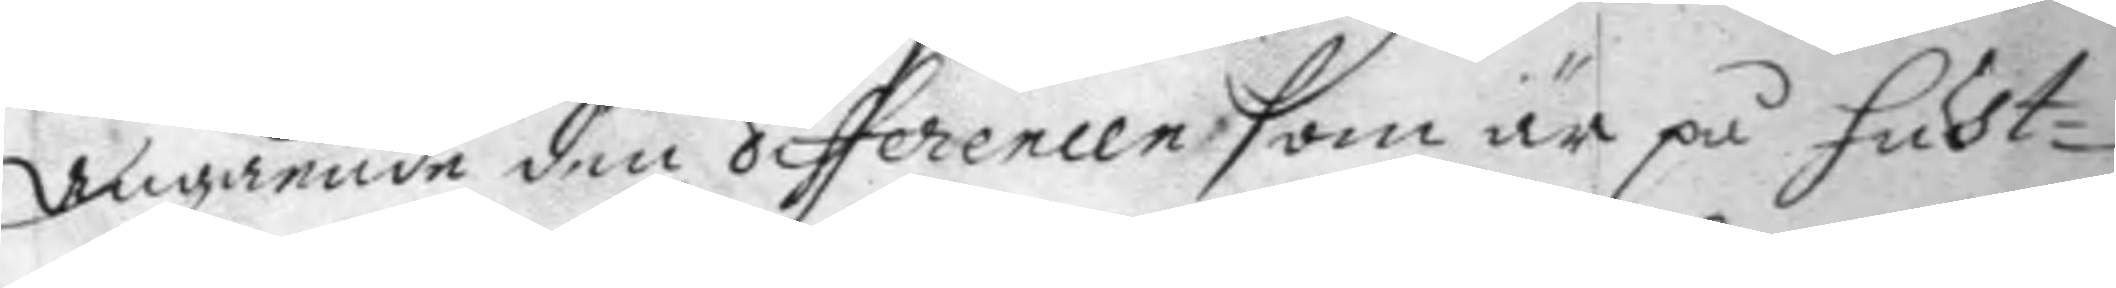Angående den differencen som är på fust¬
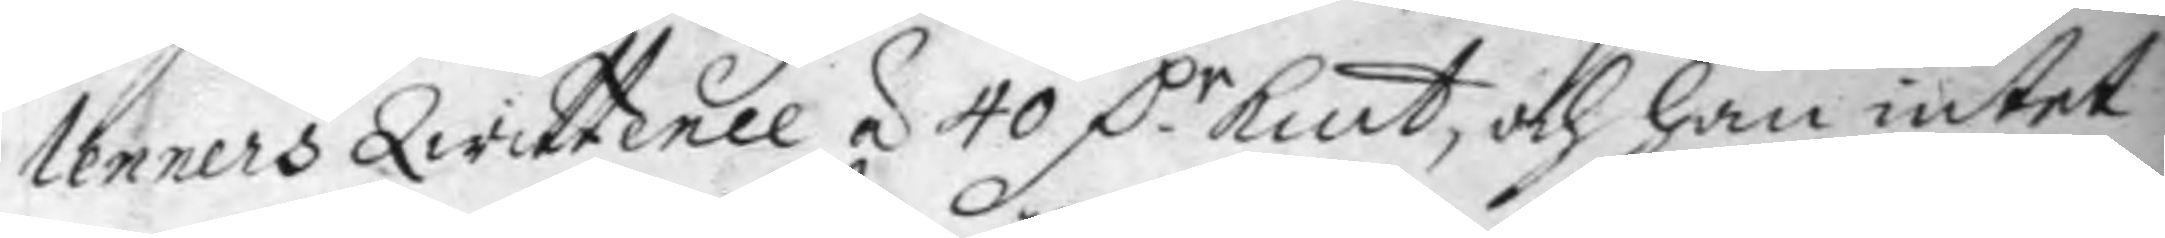lenners Qwittence á 40 D.r Kmt och han intet 
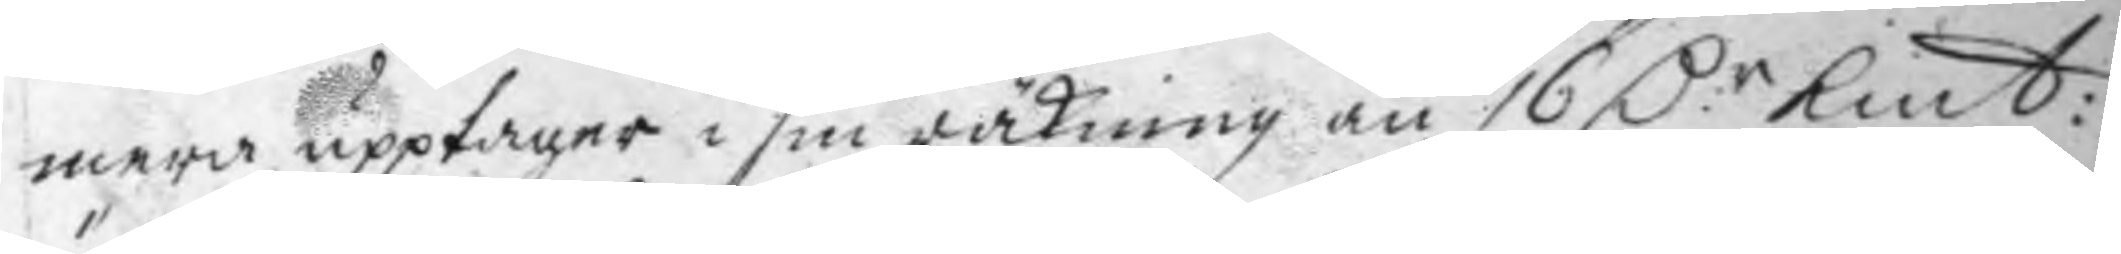mera upptager i sin räkning än 16 D.r Kmt: 
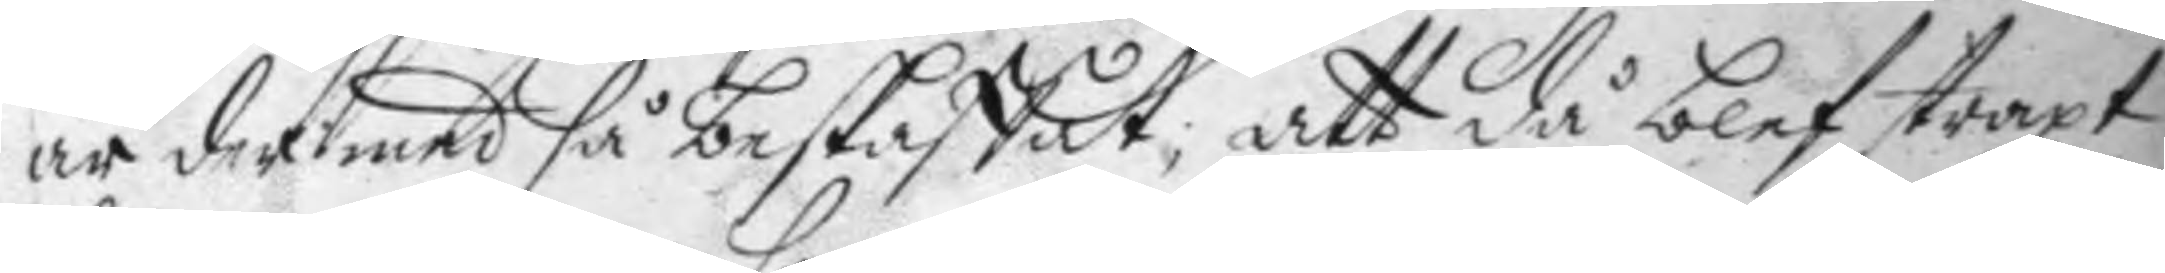är der med så beskaffat; att då blef straxt
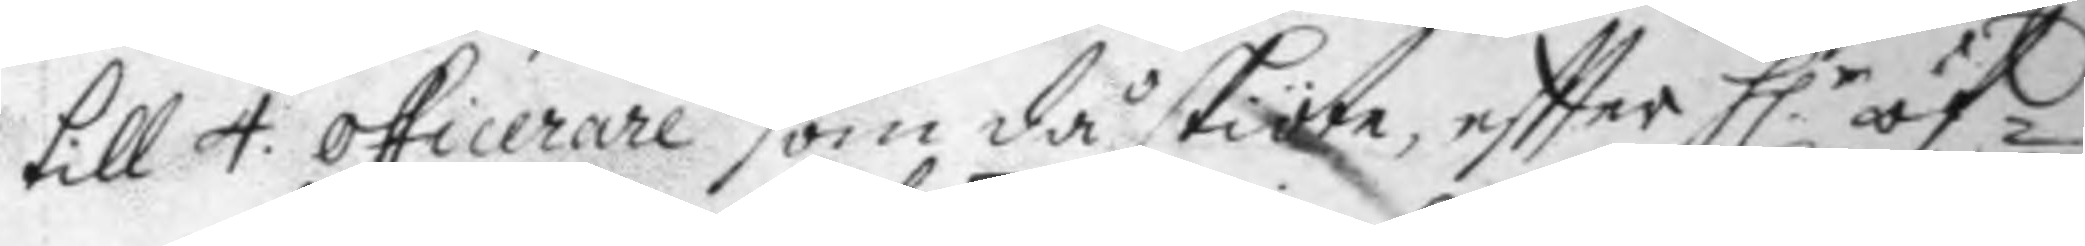till 4. officerare som då skiöte, effter H:r öf¬
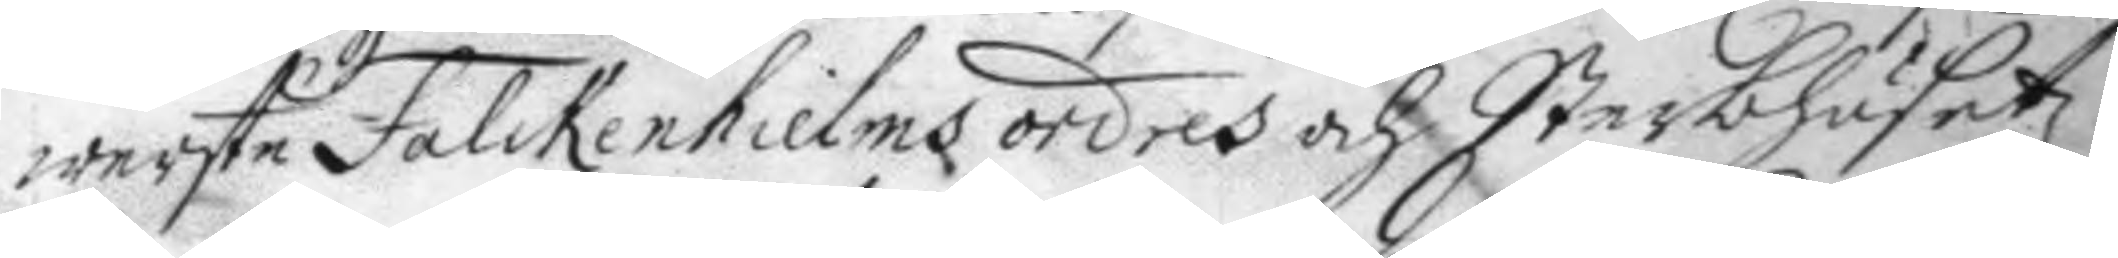werste Falckenhielms ordres och Sterbhusetz
